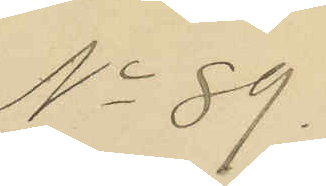No 89.
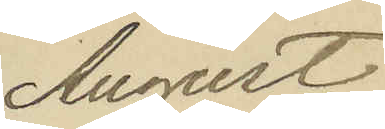August
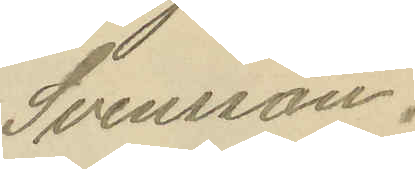Svensson.
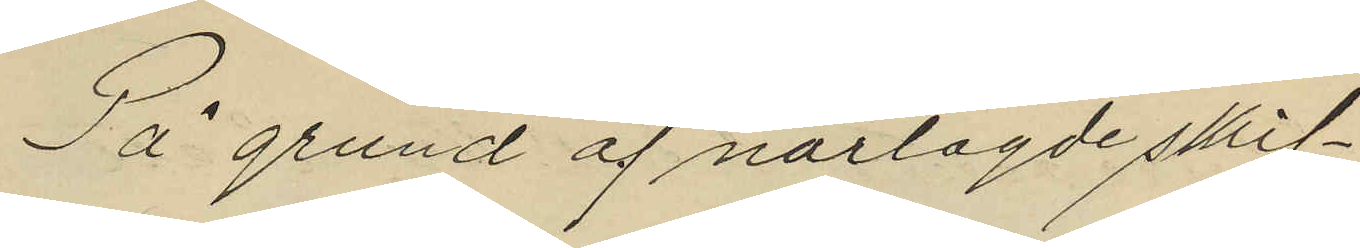På grund af närlagde skrif¬
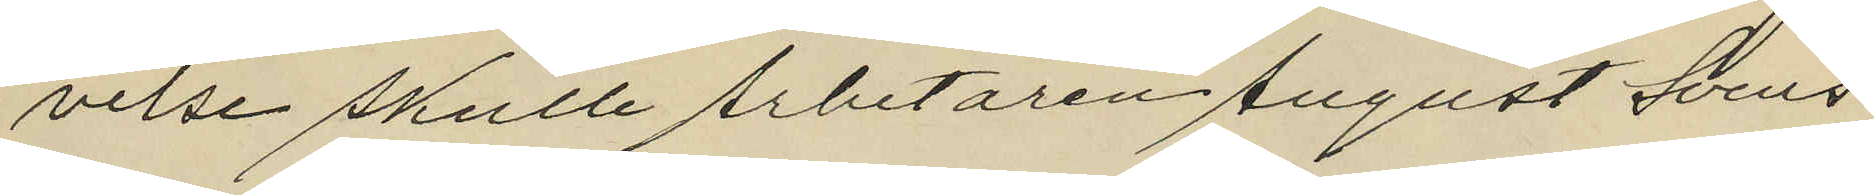velse skulle Arbetaren August Svens
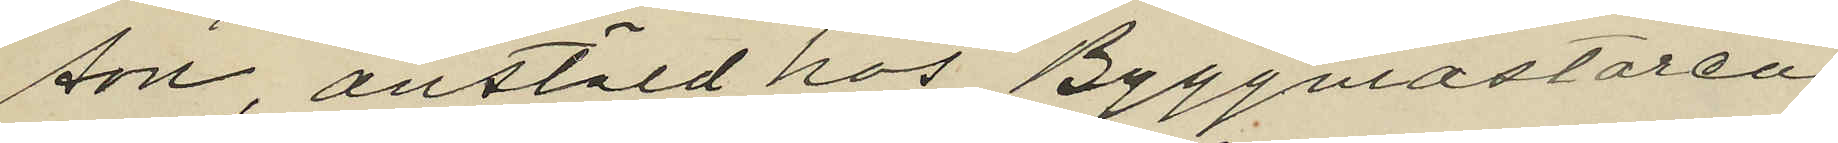son anstäld hos Byggmästaren
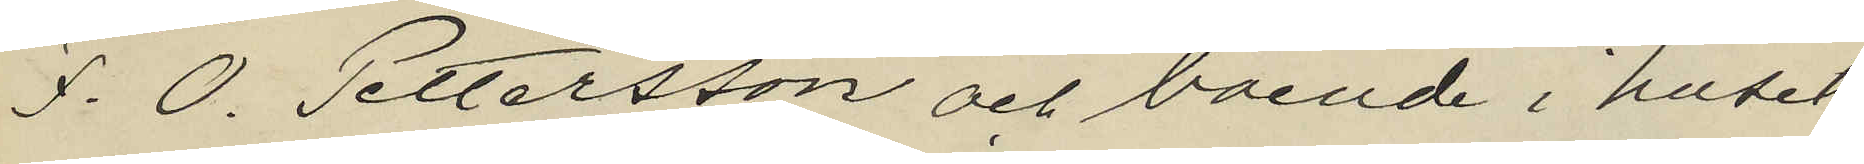F. O. Pettersson och boende i huset
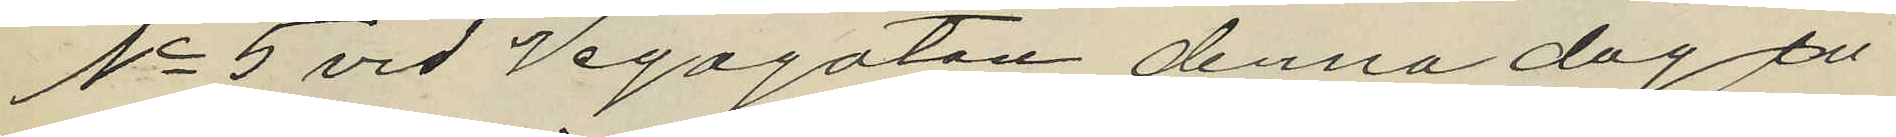No 5 vid Vegagatan denna dag in
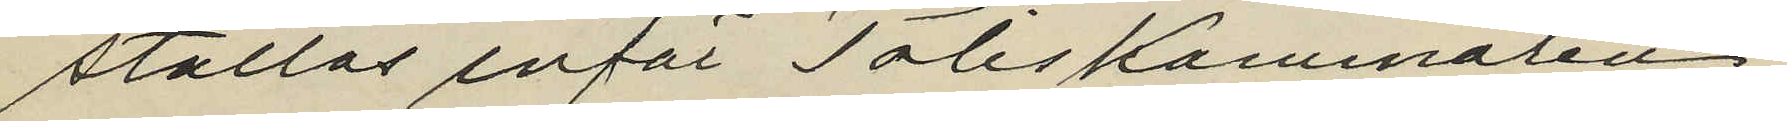ställas inför Poliskammaren
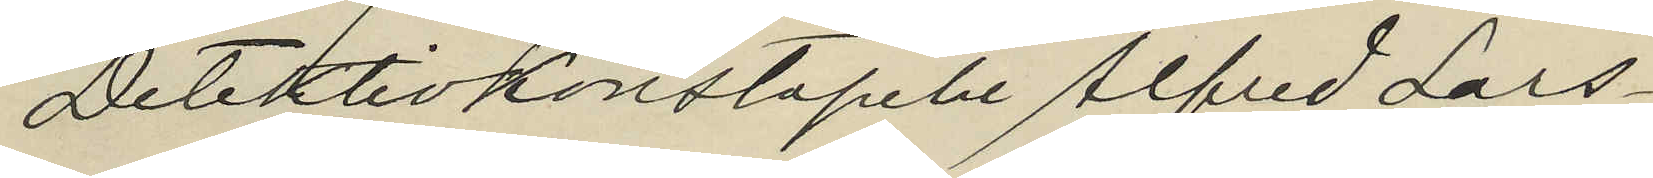Detektivkonstapeln Alfred Lars¬
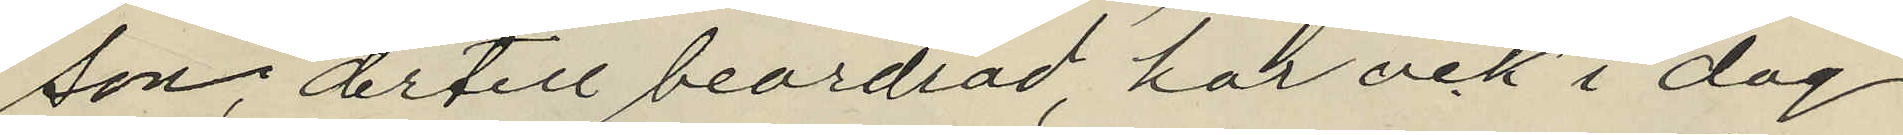son, dertill beordrad, har ock i dag
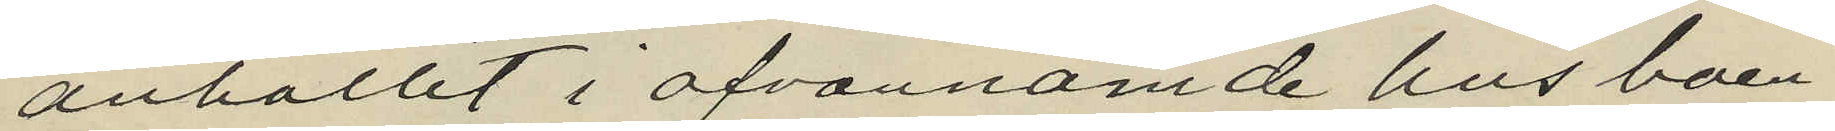anhållit i ofvannämde hus boen¬
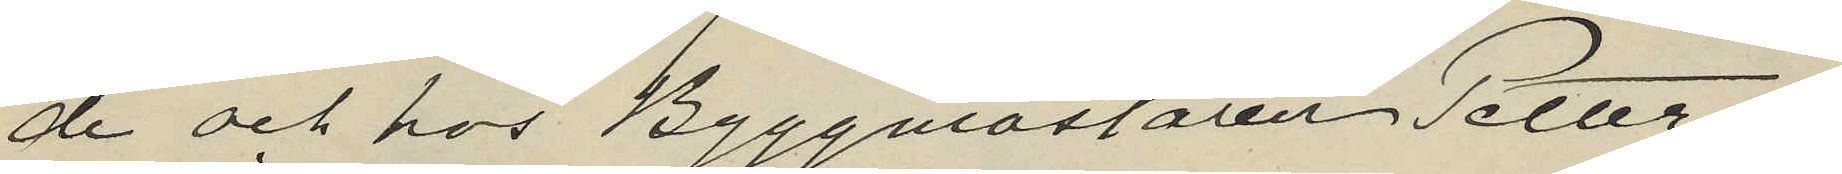de och hos Byggmästaren Petters
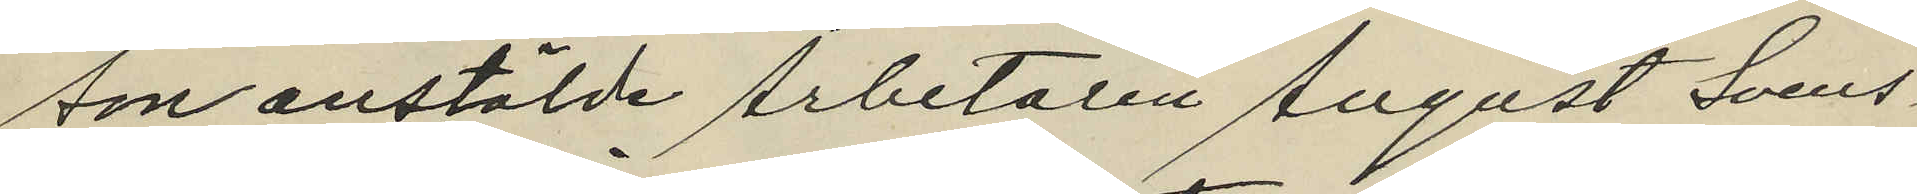son anstälde Arbetaren August Svens¬
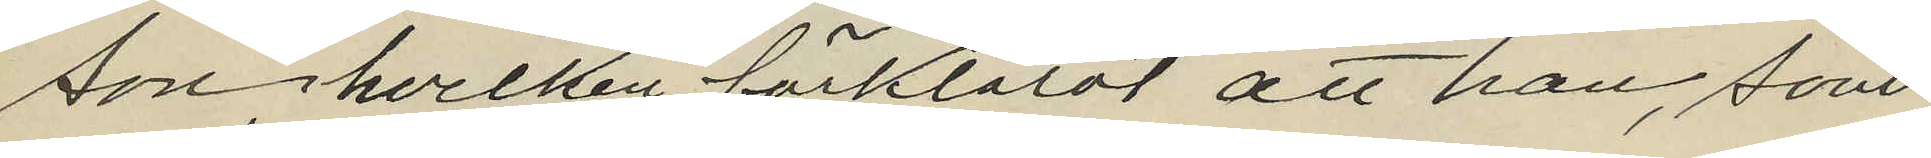son, hvilken förklarat att han, som
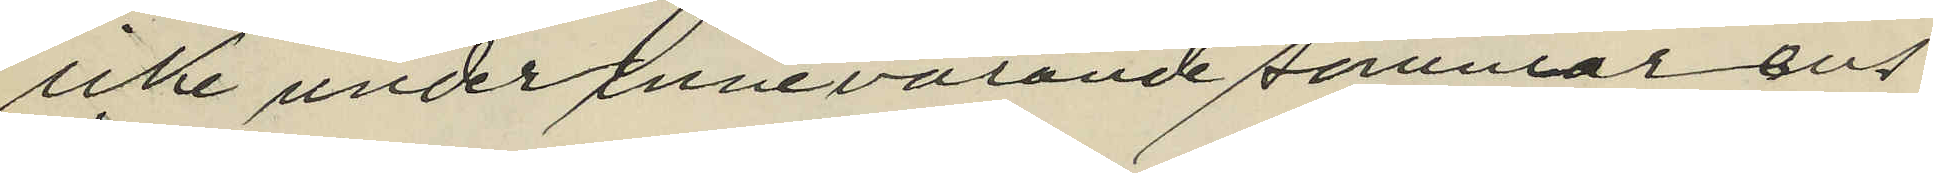icke under innevarande sommar ens
